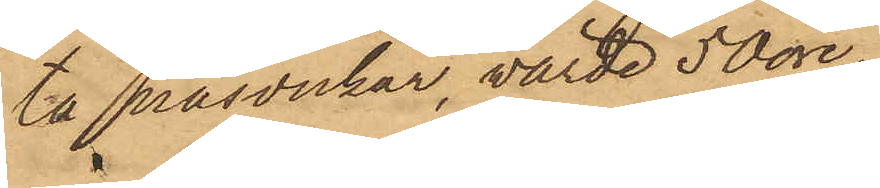ta päsdukar, värde 50 öre,
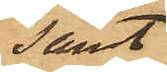samt
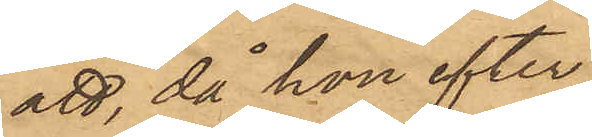att, då hon efter
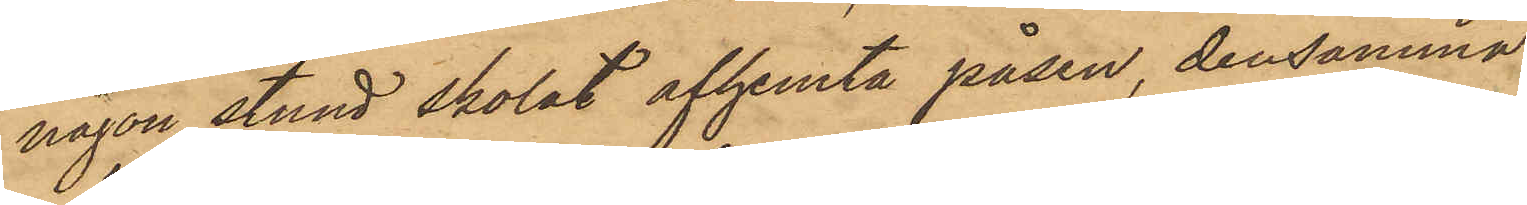någon stund skolat afhemta påsen, densamma
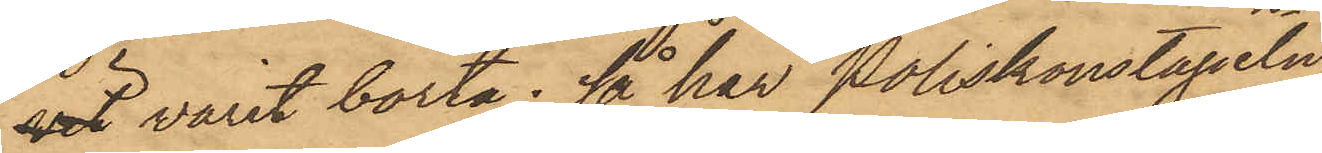 varit borta; så har Poliskonstapeln
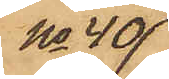No 40
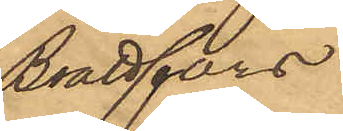Brattfors
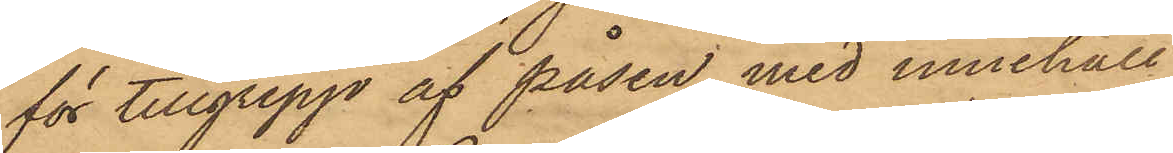för tillgrepp af påsen med innehåll
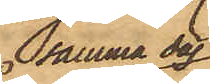samma dag
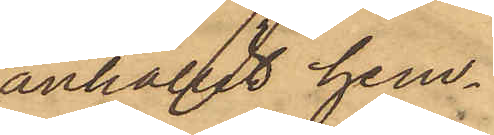anhållit hem¬
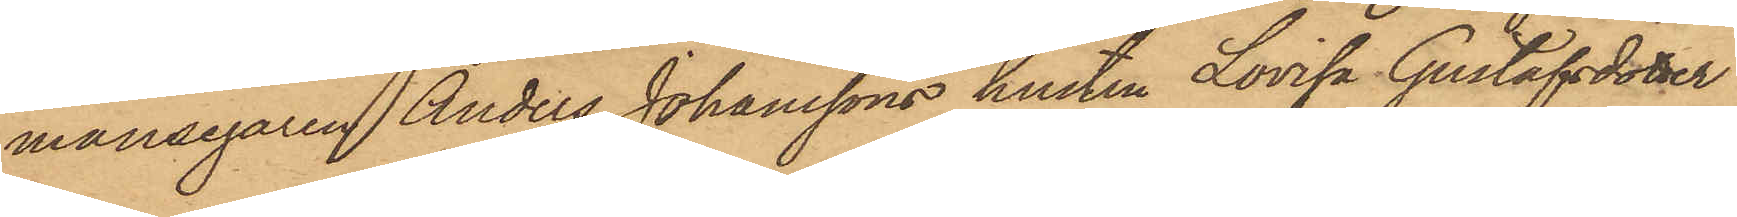mansegaren Anders Johanssons hustru Lovisa Gustafsdotter
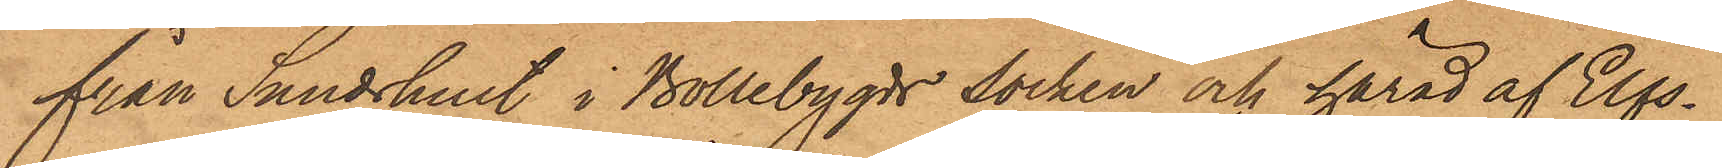från Sandhult i Bollebygds socken och härad af Elfs¬
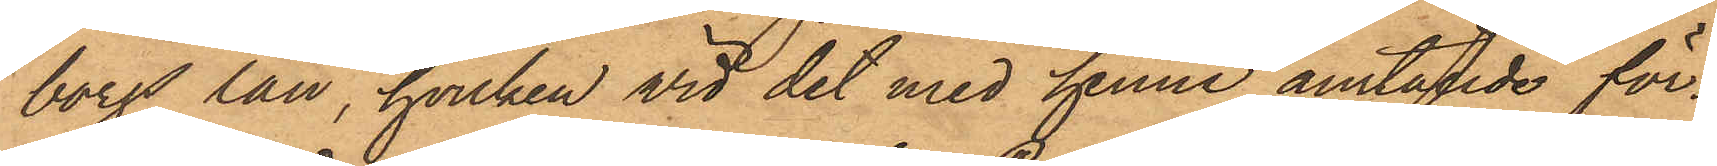borgs län, hvilken vid det med henne anställde för¬
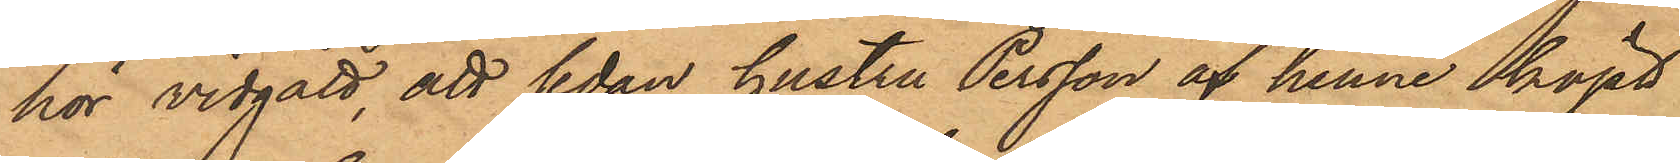hör vidgått, att sedan hustru Persson af henne köpt
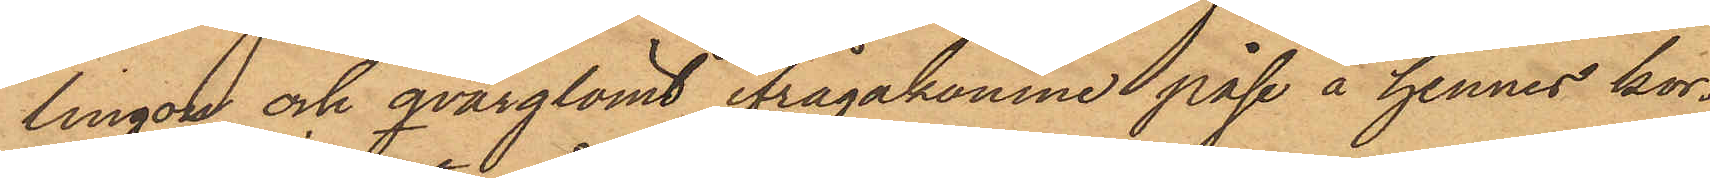lingon och qvarglömt ifrågakomne påse å hennes kor¬
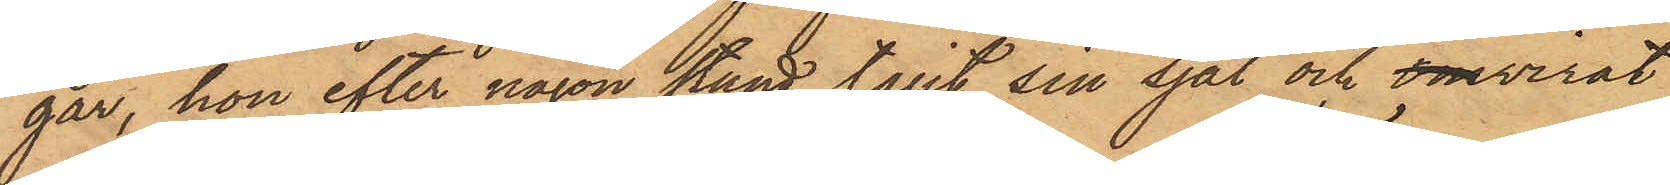gar, hon efter någon stund tagit sin sjal och omvirat
